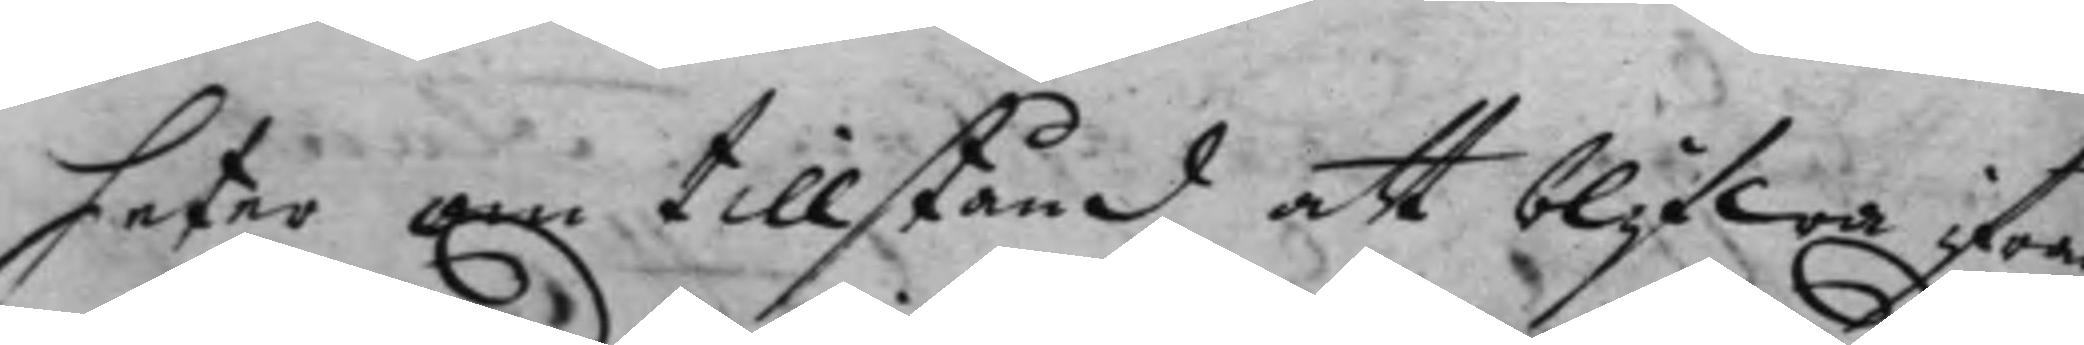heter om tillstånd att blifwa ifrån
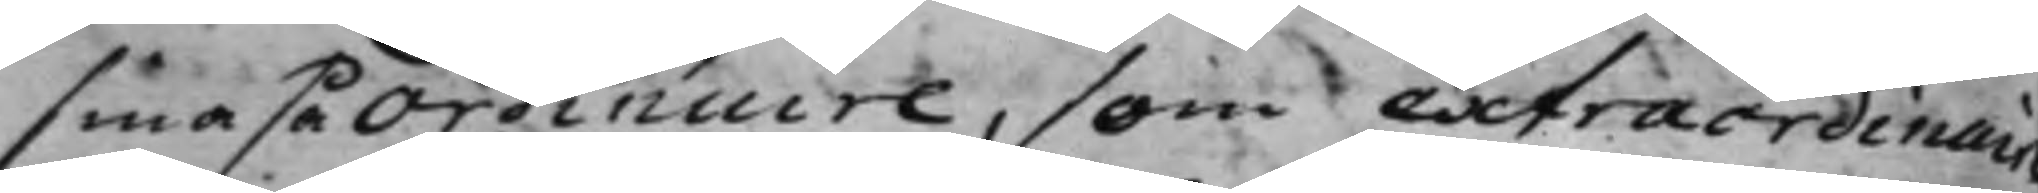sma så Ordinaire, som extraordinaire
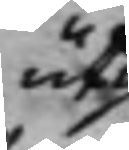uti
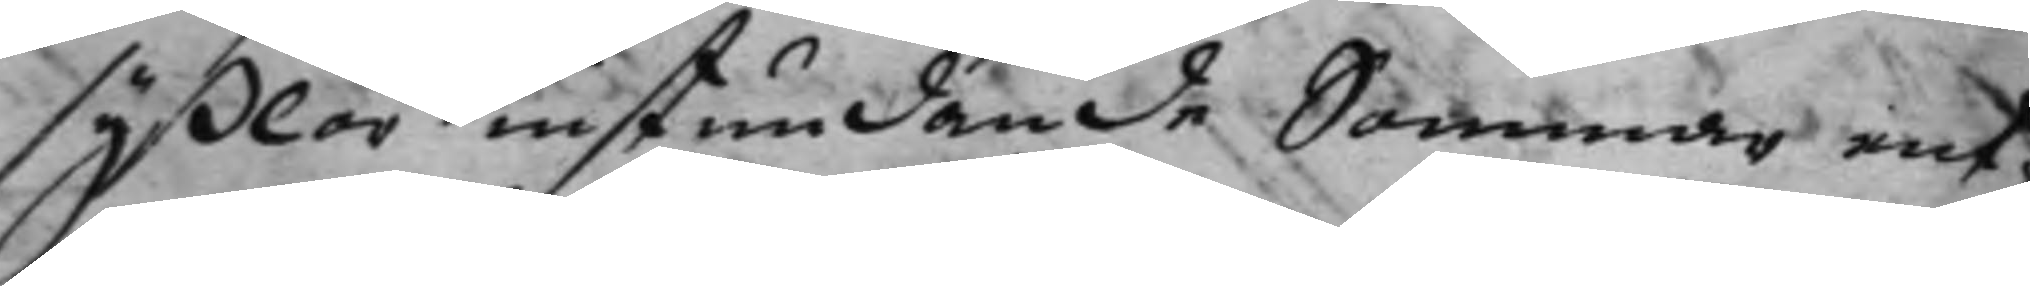syßlor instundande Sommar ent,¬
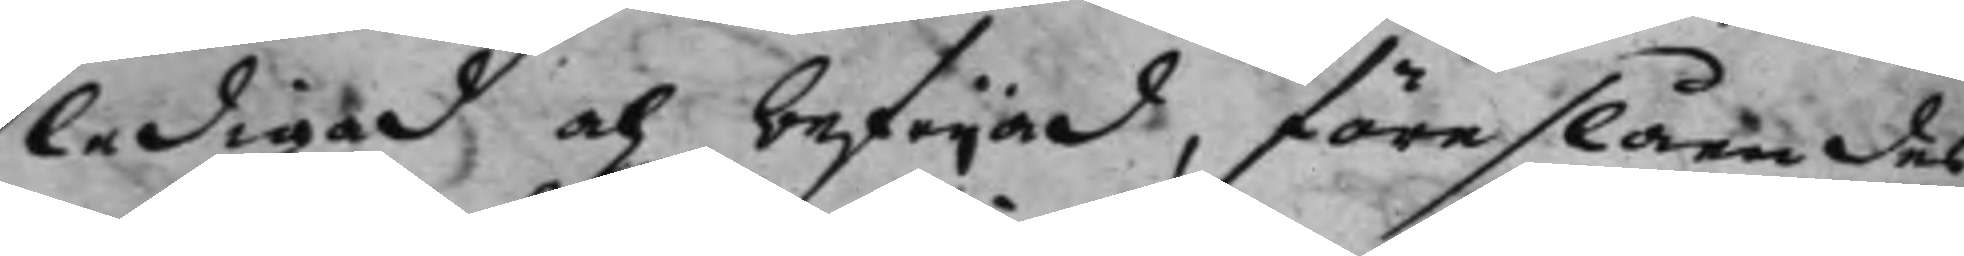ledigad och befrijad, föreslåendes
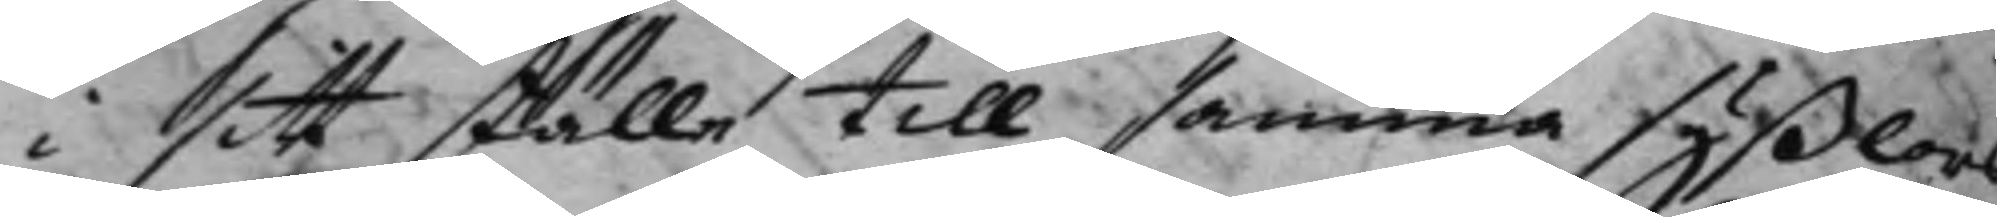i sitt ställe till samma syßlors
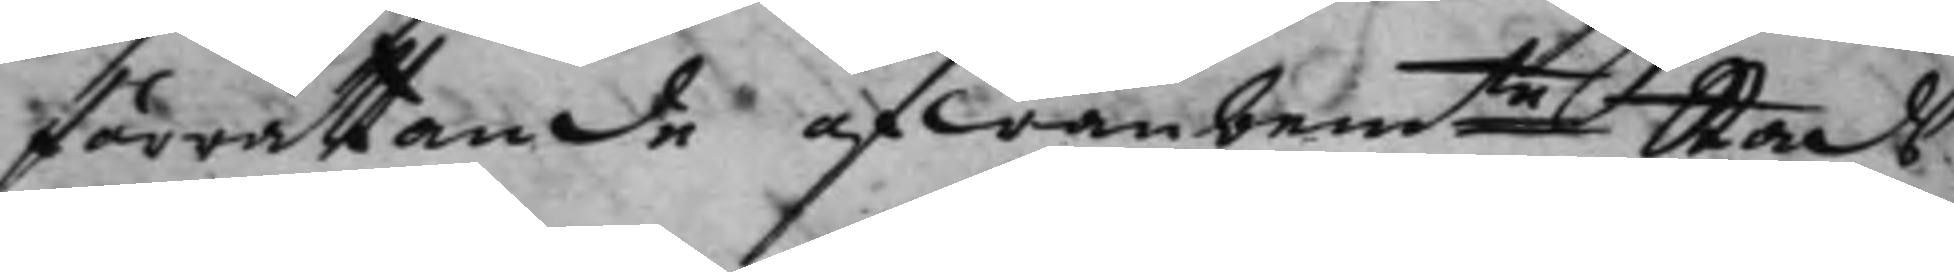förrättande ofwanbemte Stads¬ 
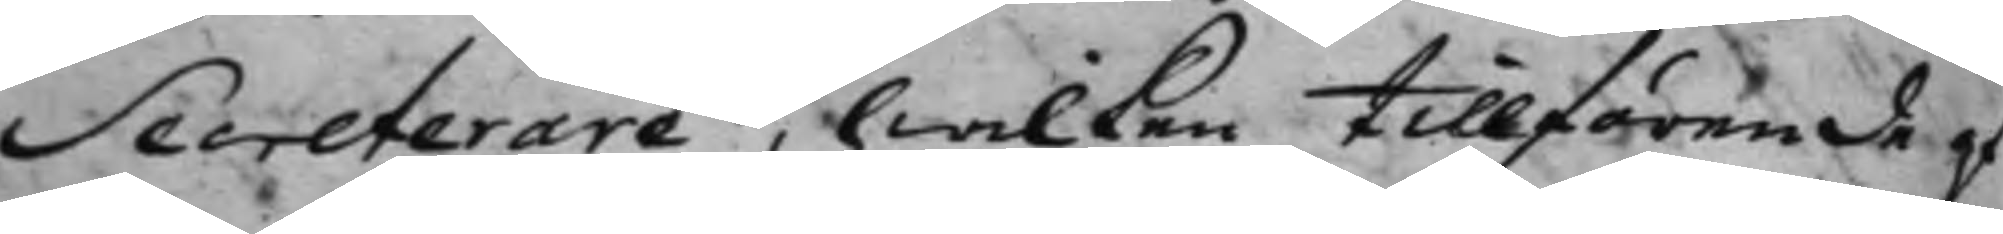Secreterare, hwilken tillförende af
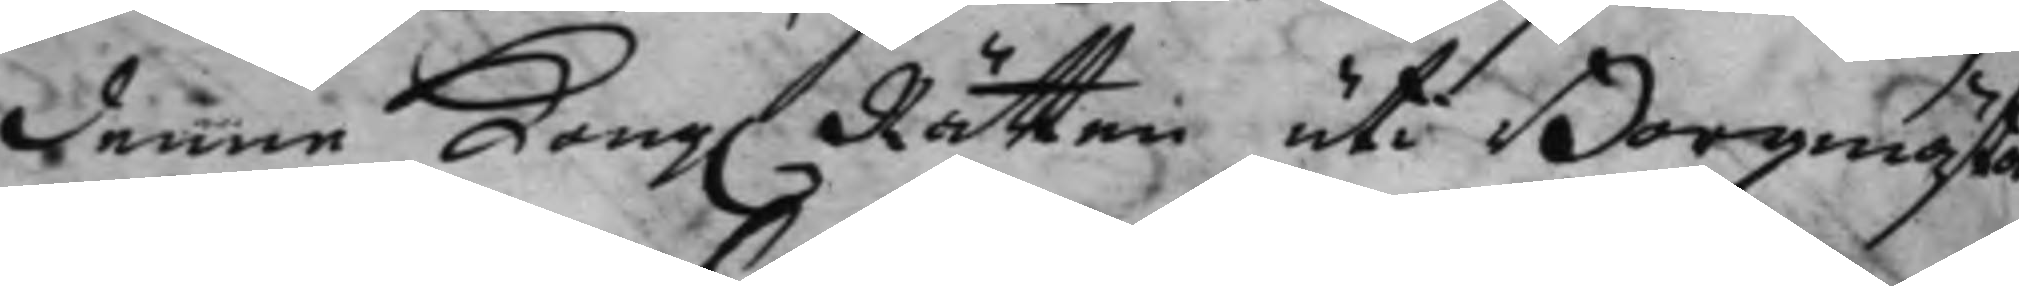denne Kong. Rätten uti Borgmästa¬ 
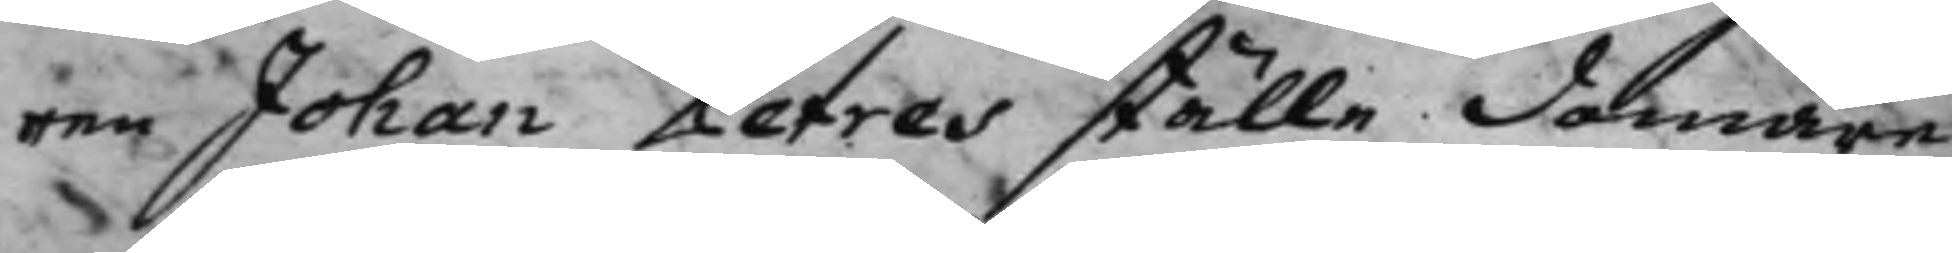ren Johan Petres ställe domare¬
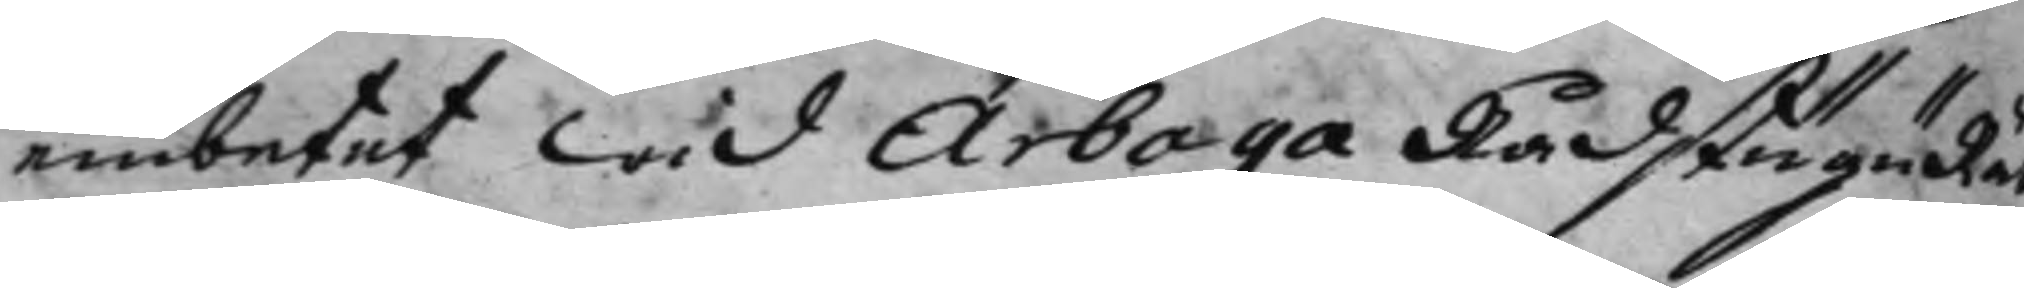embetet wid Arboga RådstuguRätt
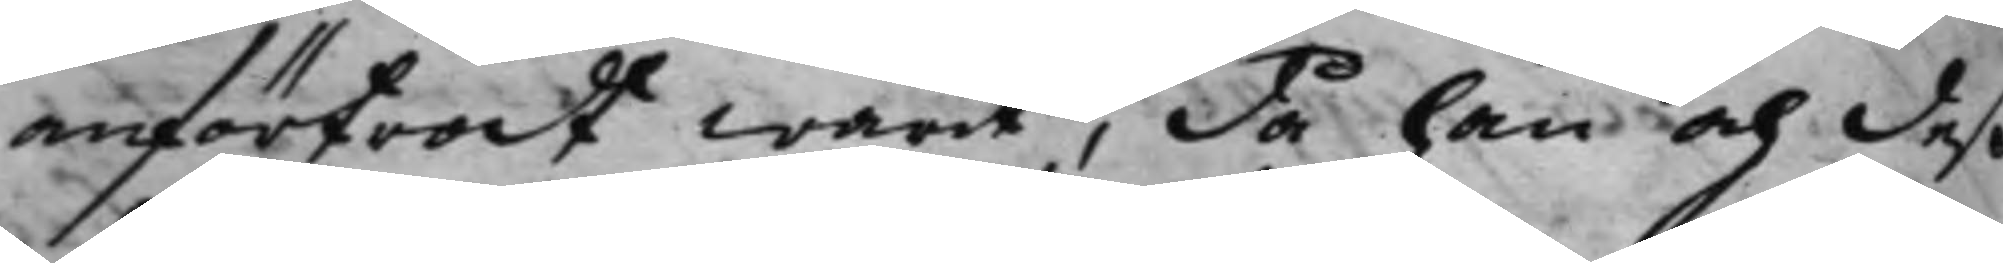anförtrodt warit, då han och deß
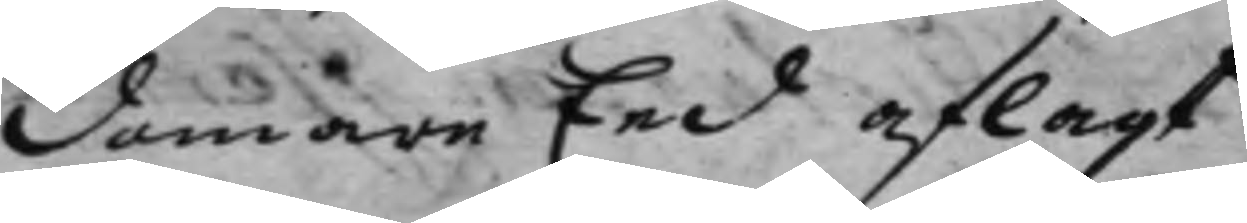Domare Eed aflagt.
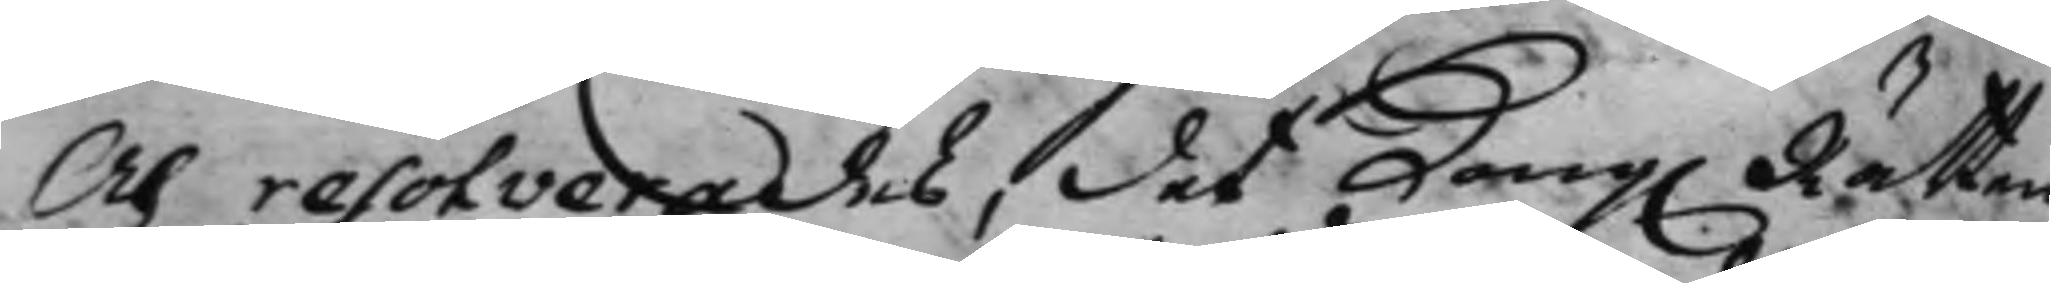Och resolverades, det Kong. Rätten 
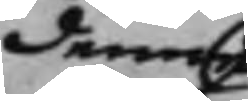denne
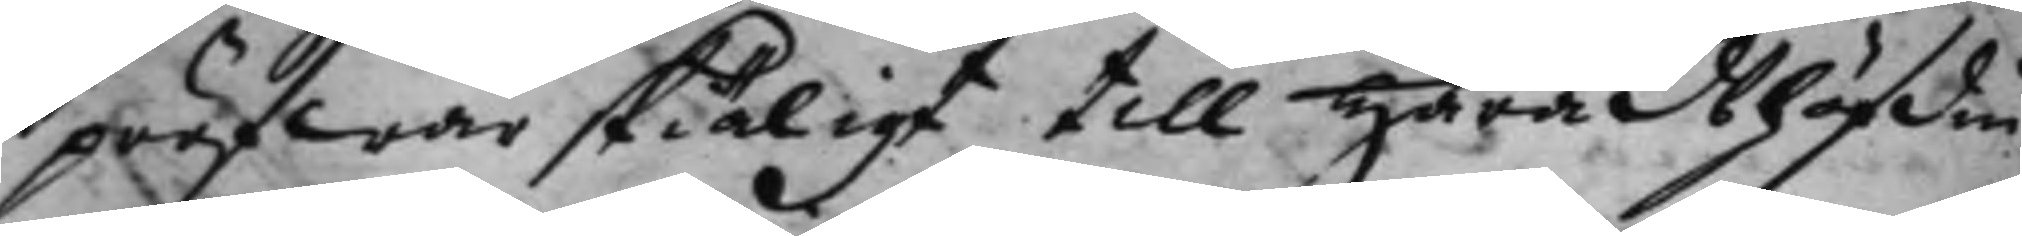pröfwar skiäligt till Häradshöfdin¬
